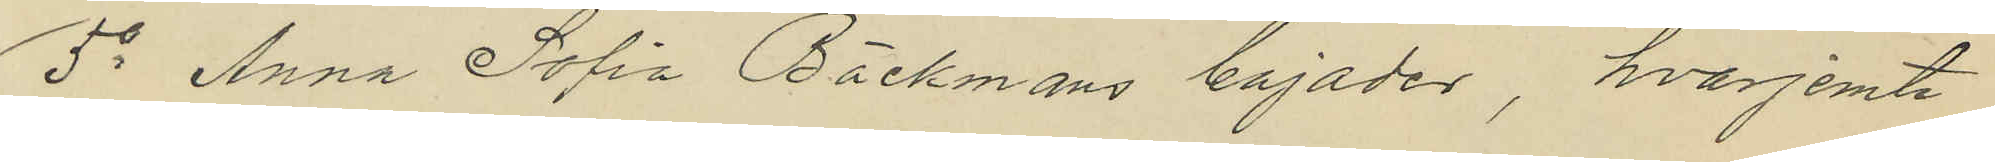5o Anna Sofia Bäckmans bajader, hvarjemte
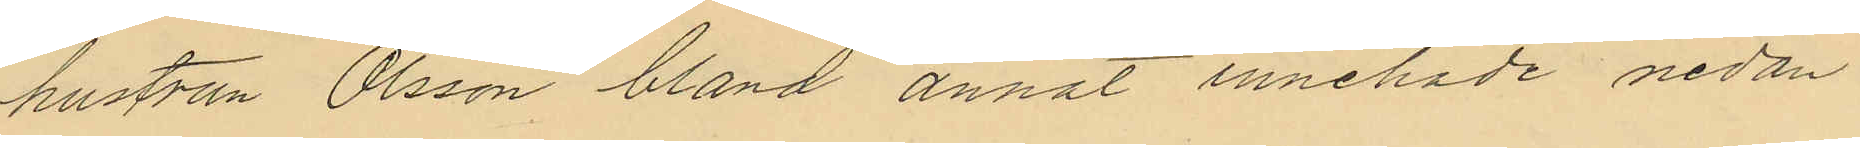hustrun Olsson bland annat innehade nedan
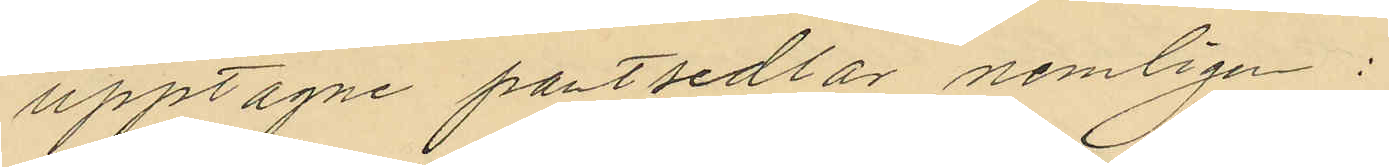upptagne pantsedlar nemligen:
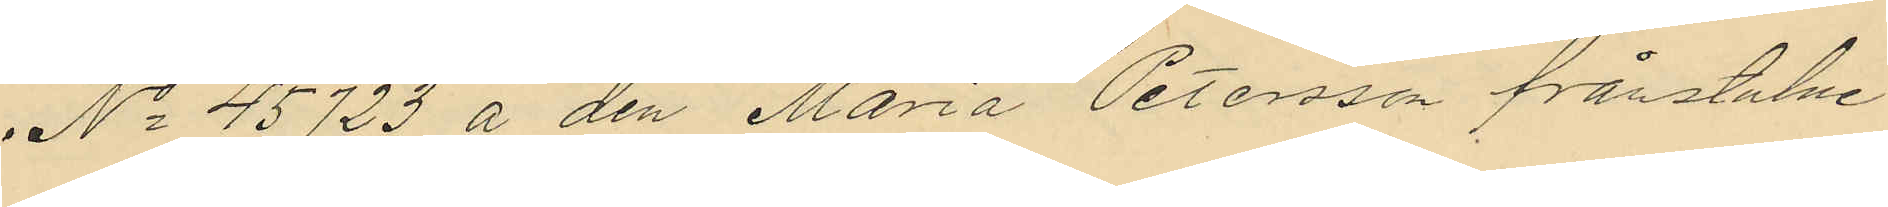No 45723 å den Maria Petersson frånstulne
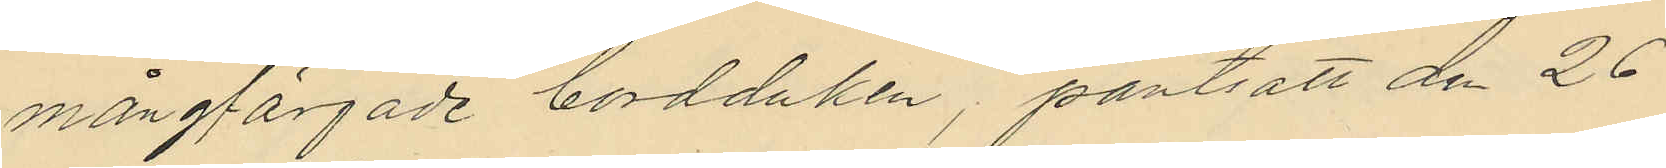mångfärgade bordduken, pantsatt den 26
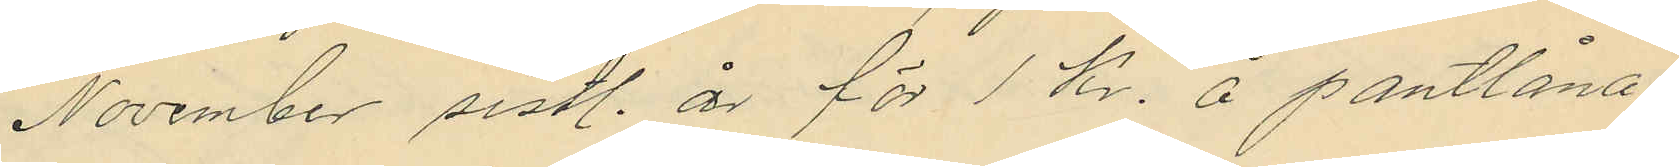November sistl. år för 1 Kr. å pantlåna¬
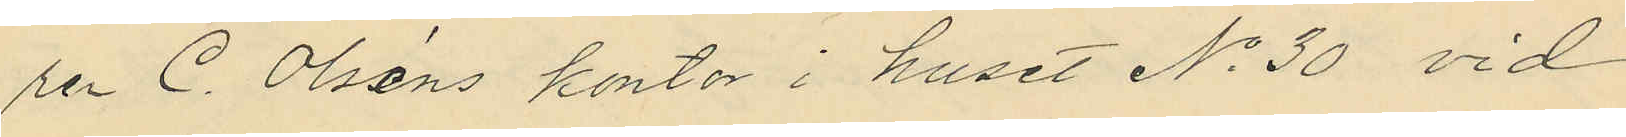ren C. Olséns kontor i huset No 30 vid
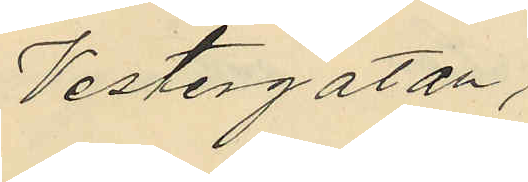Vestergatan,
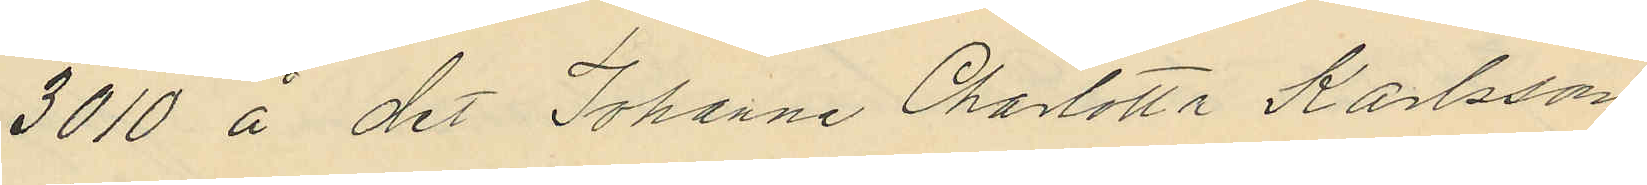3010 å det Johanna Charlotta Karlsson
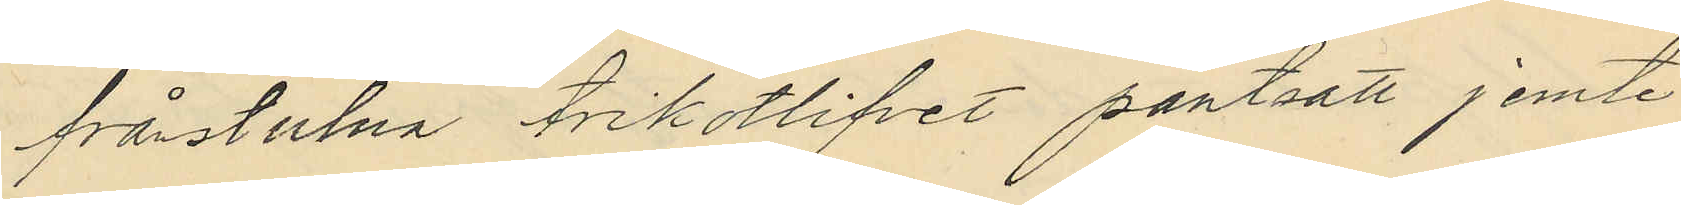frånstulna trikotlifvet pantsatt jemte
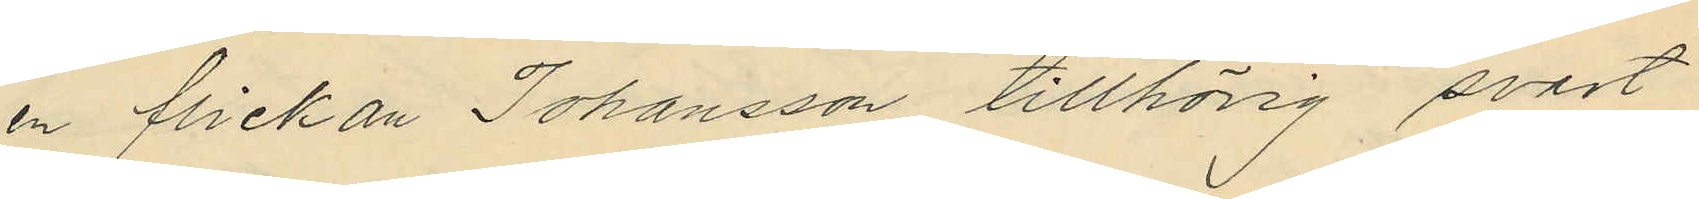en flickan Johansson tillhörig svart
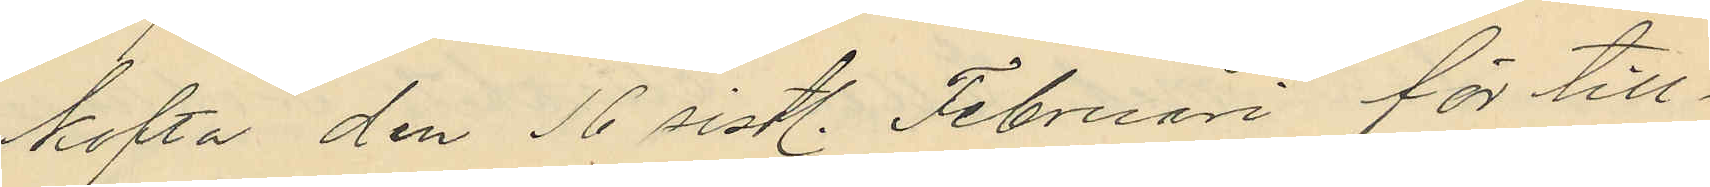kofta den 16 sistl. Februari för till¬
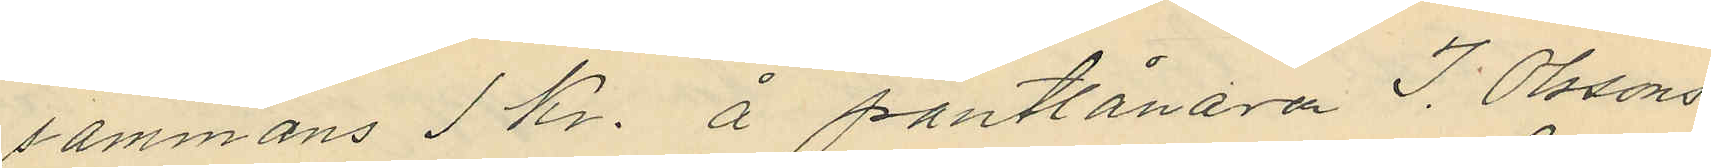sammans 1 kr. å pantlånaren J. Olssons
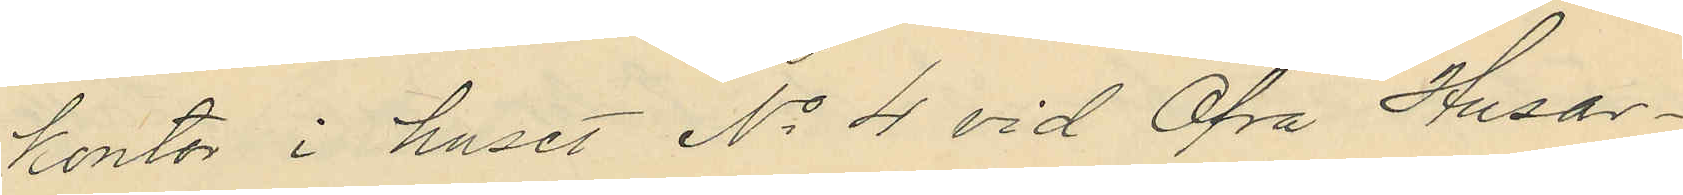kontor i huset No 4 vid Öfra Husar¬
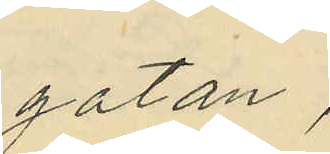gatan,
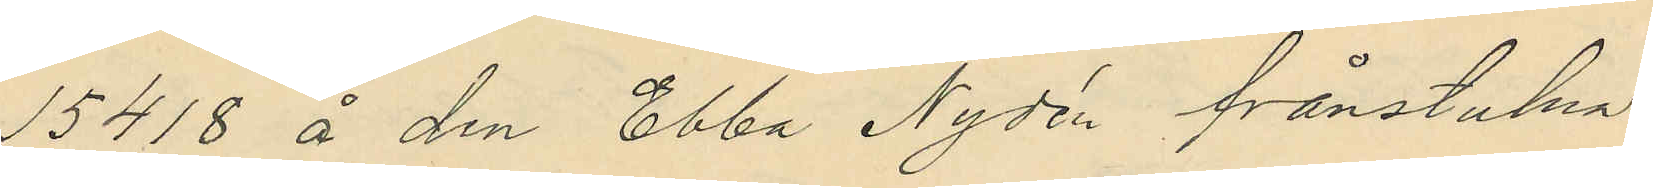15418 å den Ebba Nydén frånstulna
